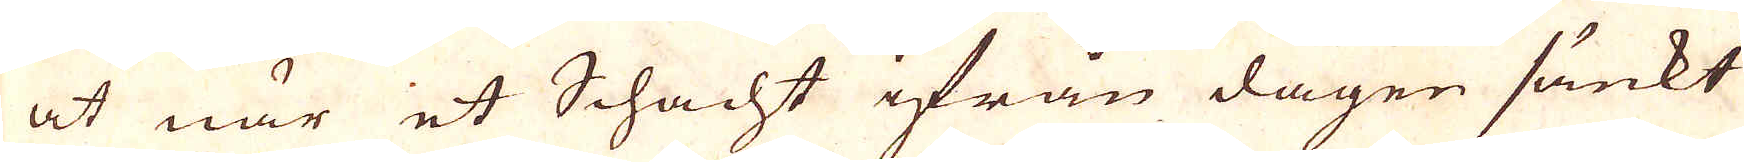at när et Schacht ifrån dagen sänkt
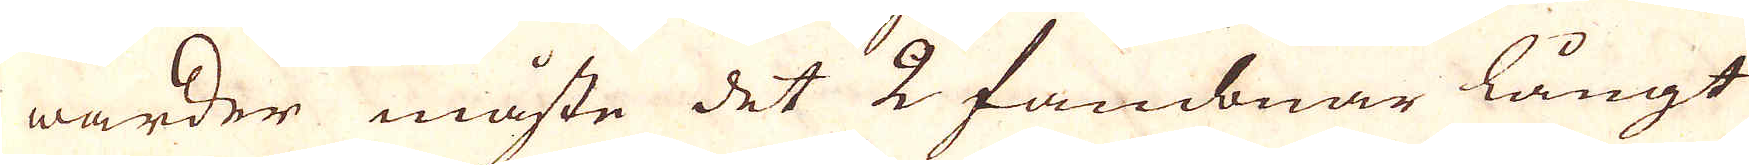warder måste det 2 fambnar långt
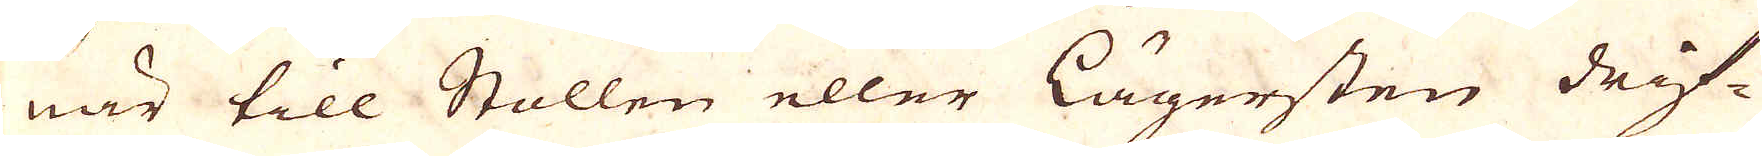när till Stollen eller lägersten drif-
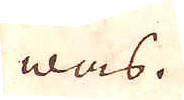was.
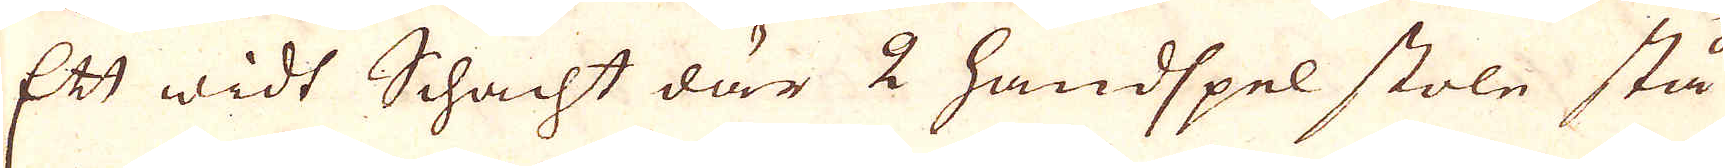Ett widt Schacht där 2 handspel stoln stå
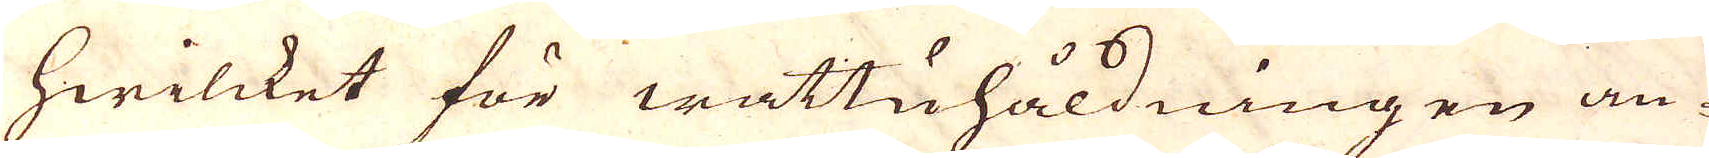hwilcket för wattuhåldningen an-
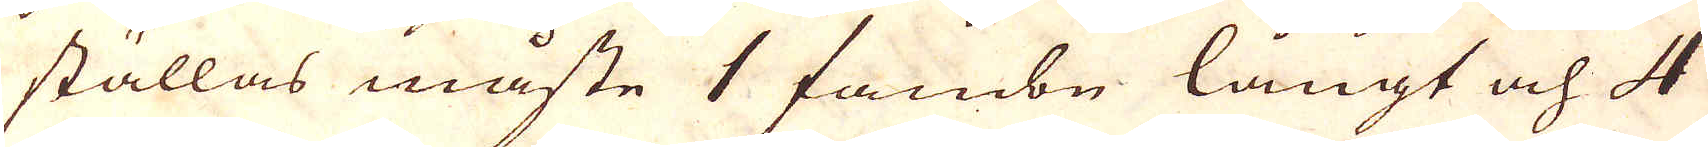ställas måste 1 fambn långt och 4
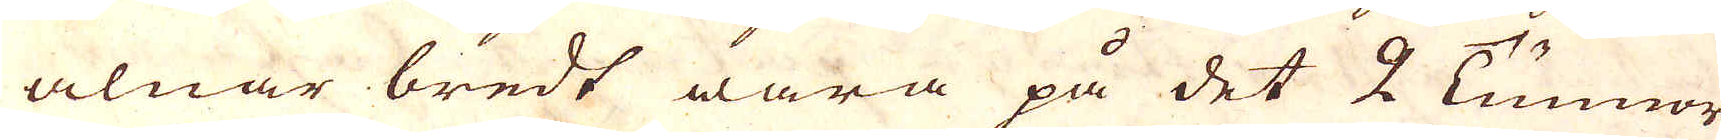alnar bredt wara på det 2 Tunnor
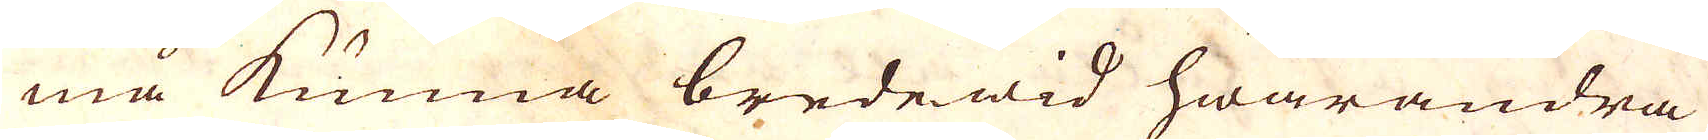må kunna bredewid hwarandra
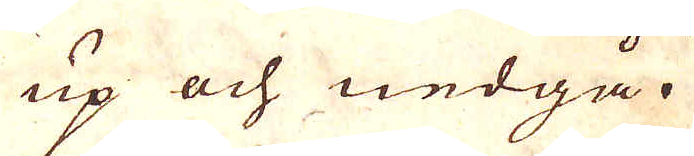up och nedgå.
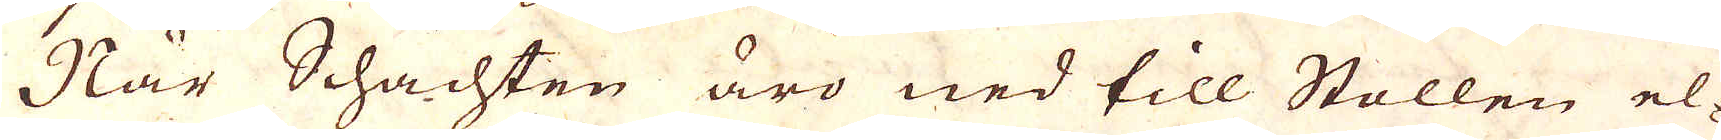När Schachten äro ned till Stollen el-
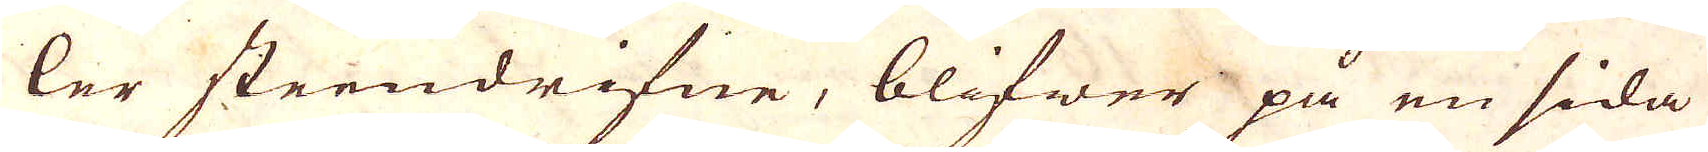ler steendrifne, blifwer på en sida
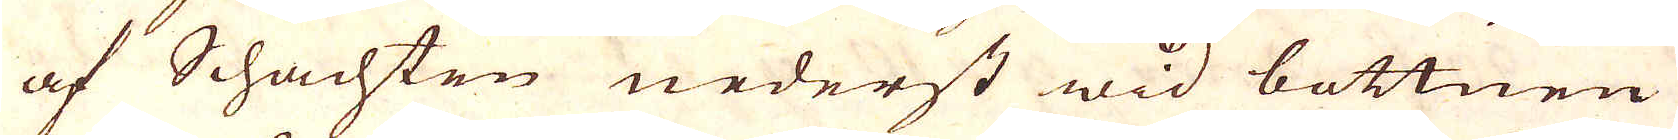af Schachten nederst wid bottnen
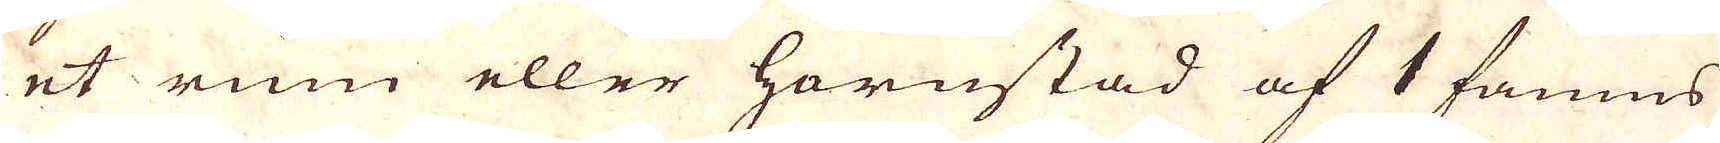et rum eller hornstad af 1 famns
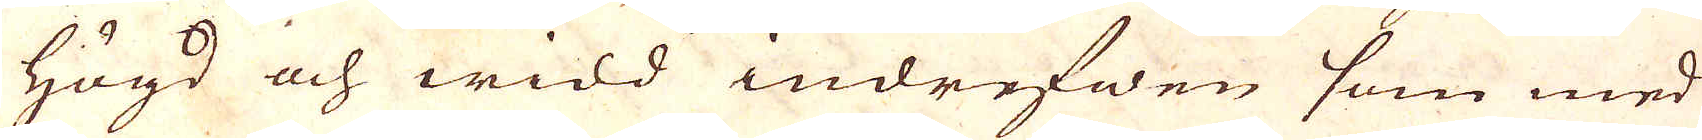högd och widd indrifwen som med
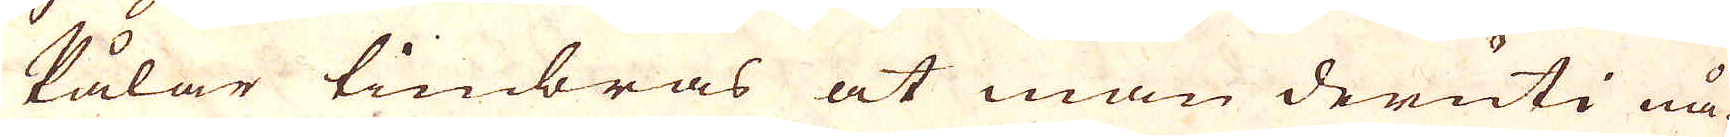Pålar timbras at man deruti nå-
